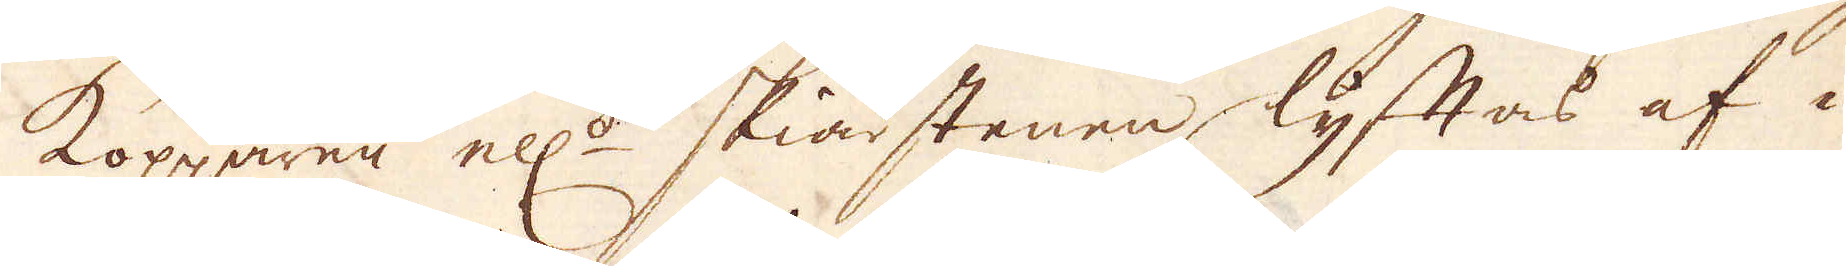Kopparen ell:r skiärstenen lyftas af i
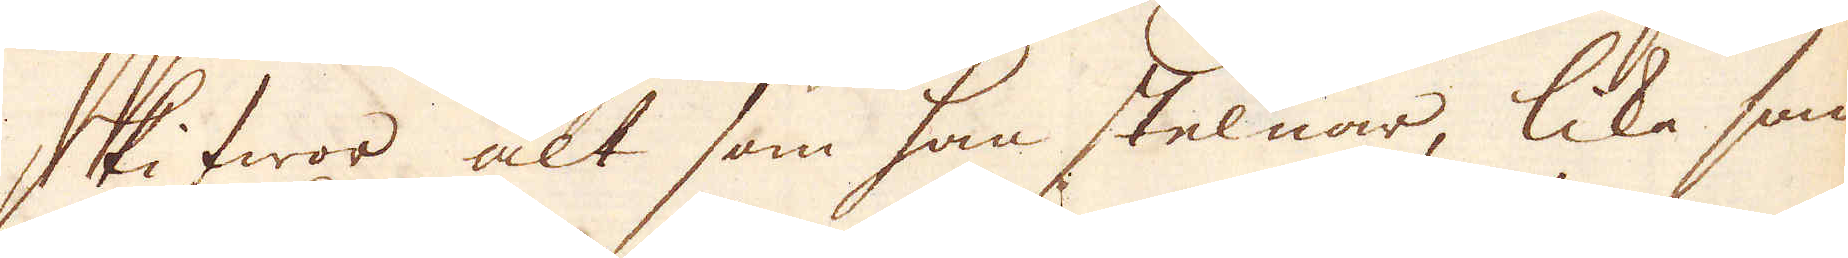skifwor alt som han stelnar, lika som
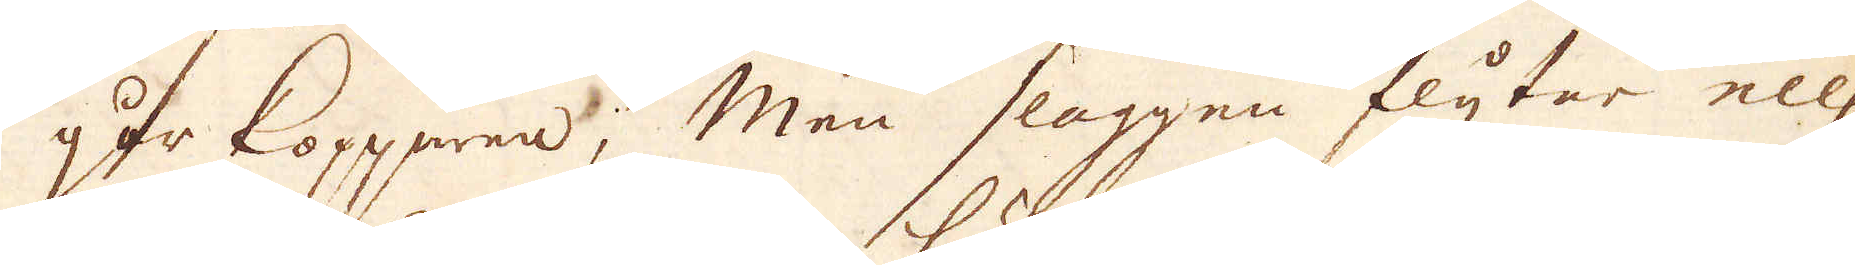går kopparen; Men slaggen flyter ell:r
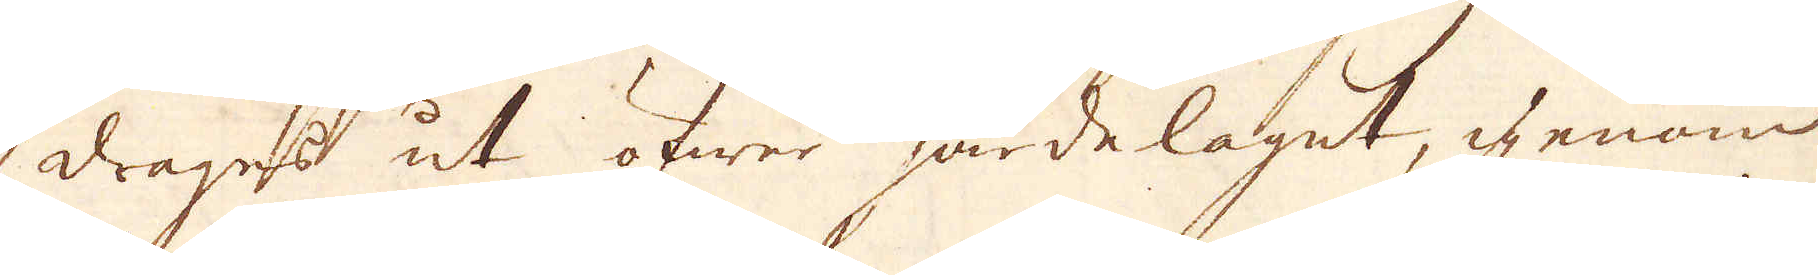drages ut öfwer härdelaget, igenom
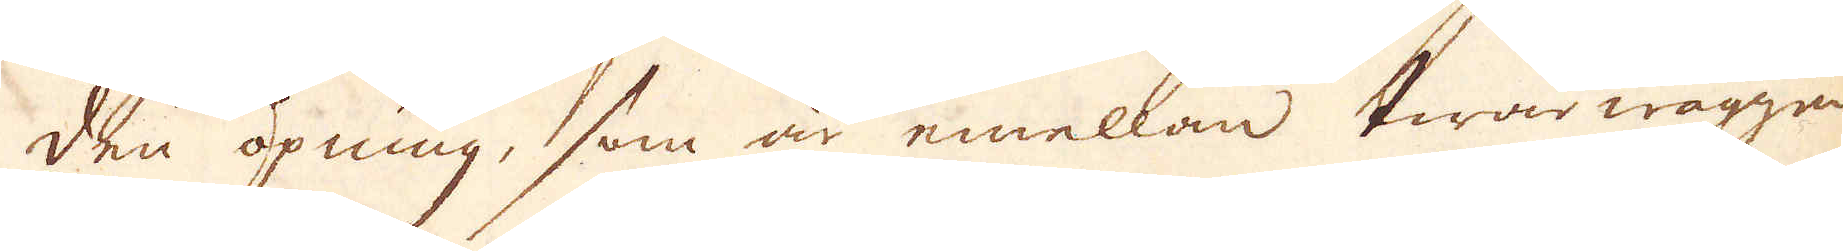den öpning, som är emellan twärwäggen
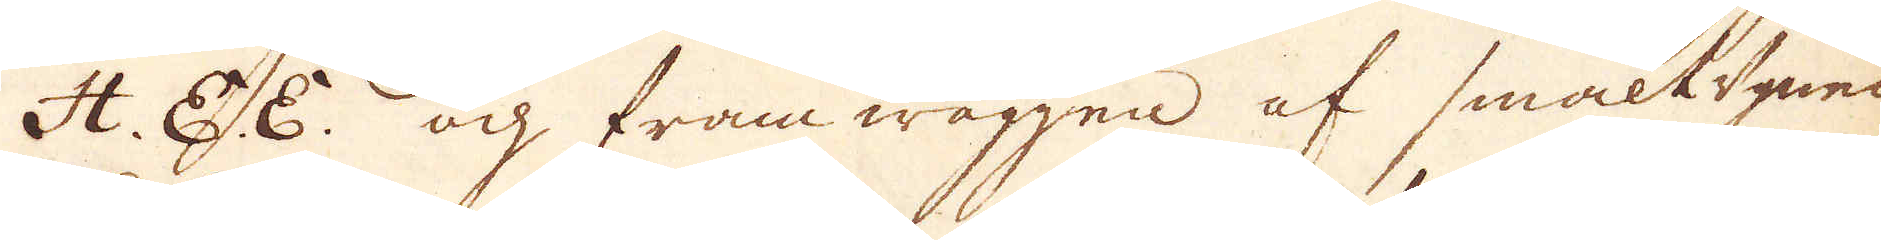H. E. E. och framwäggen af smältugnen
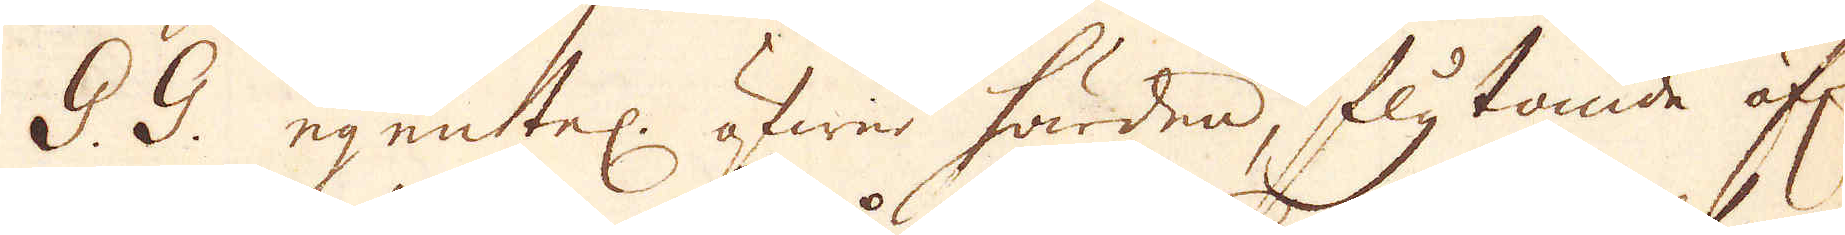G. G. egentel: öfwer härden, flytande öf:r
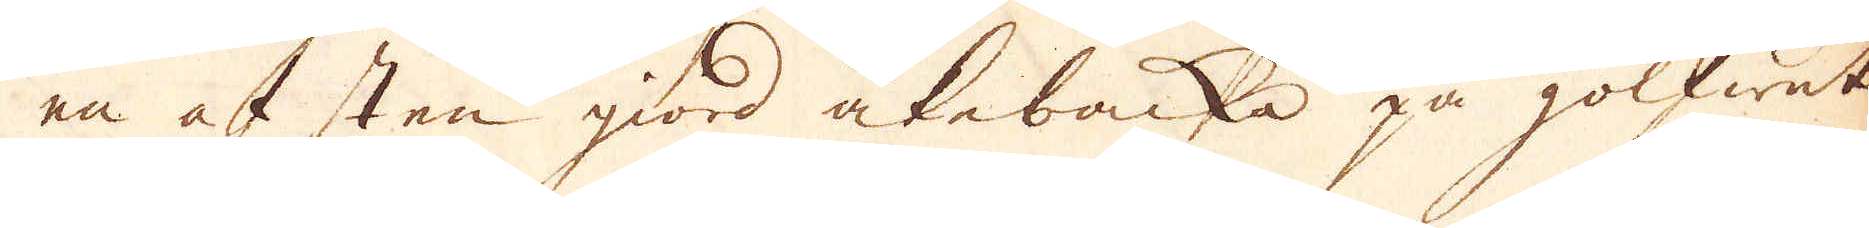en af sten giord åkebacka på golfwet
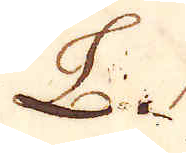L.
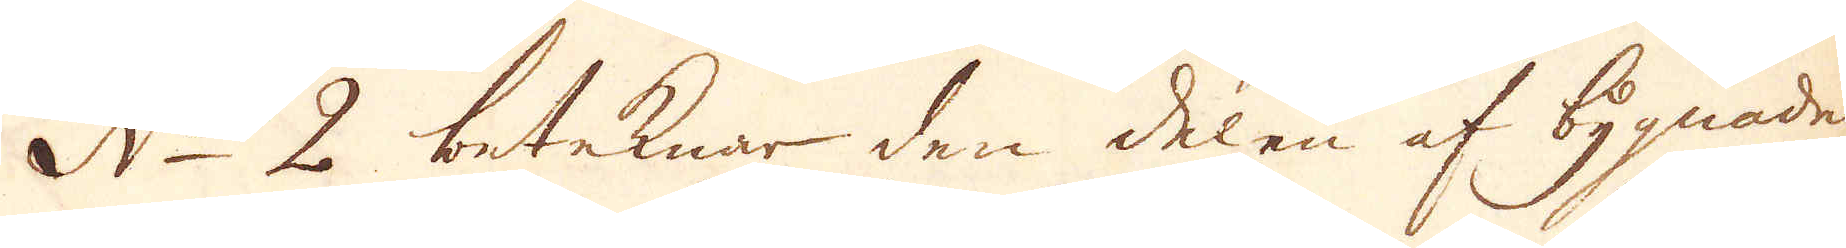N:o 2 beteknar den delen af bygnaden
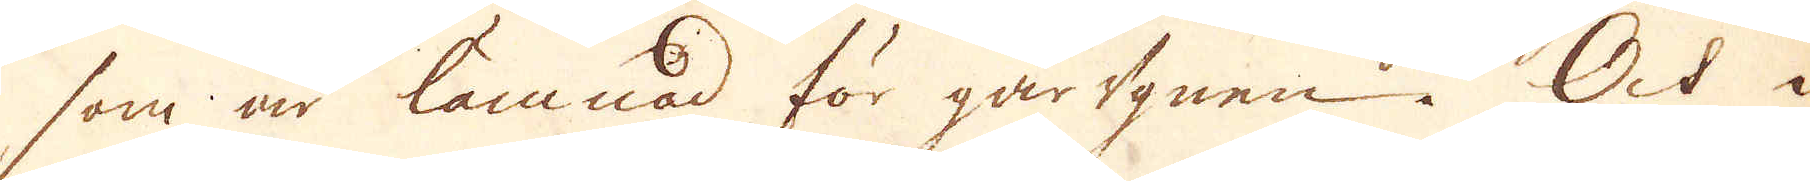som är lämnad för gårugnen. Och i
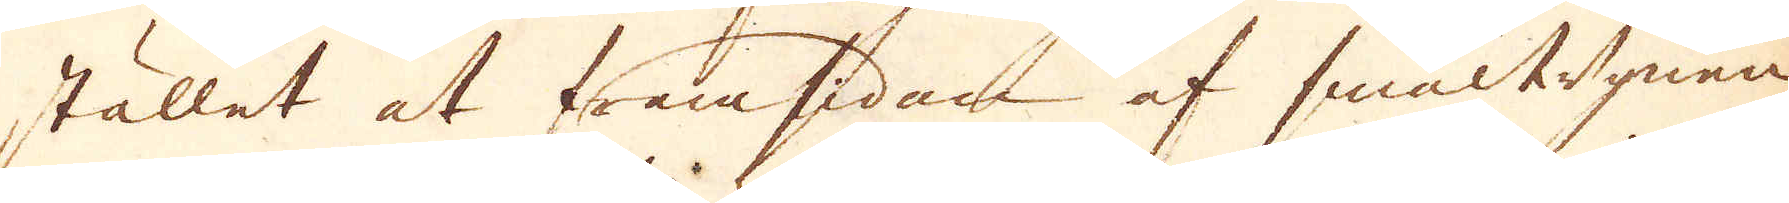stället at framsidan af smältugnan
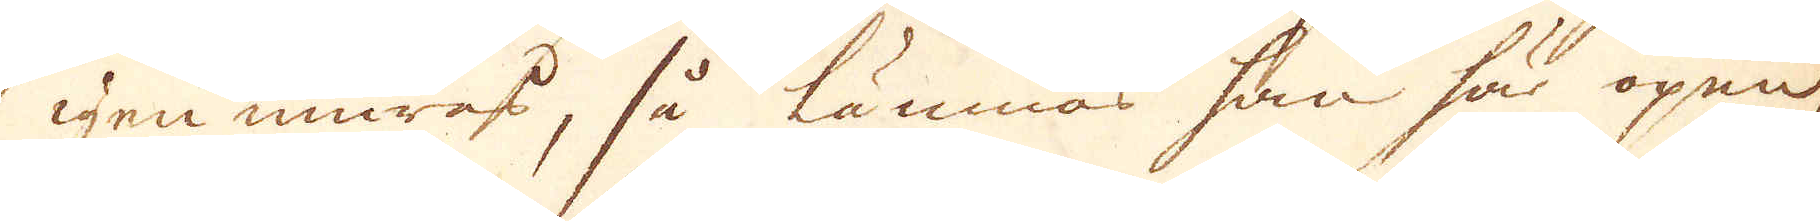igen muras, så lämnas han här öpen,
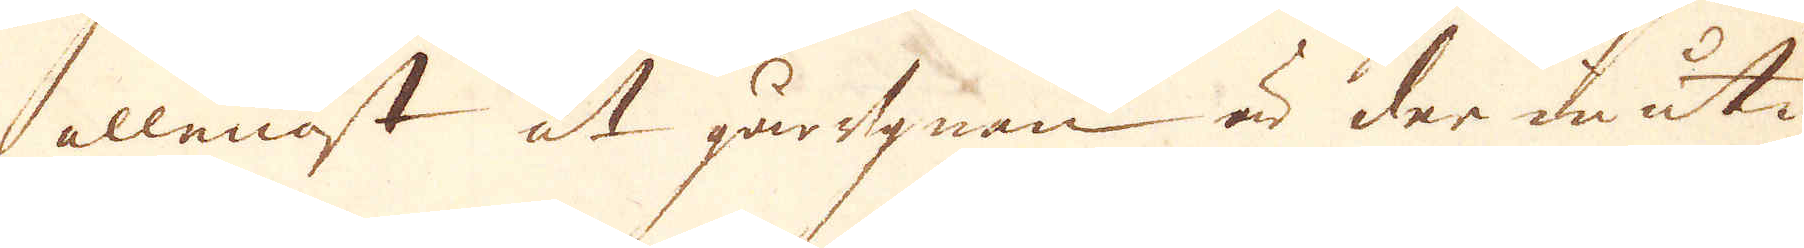allenast at gårugnen är der in uti
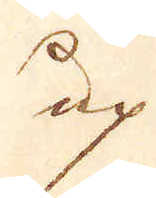up
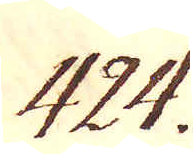424.
